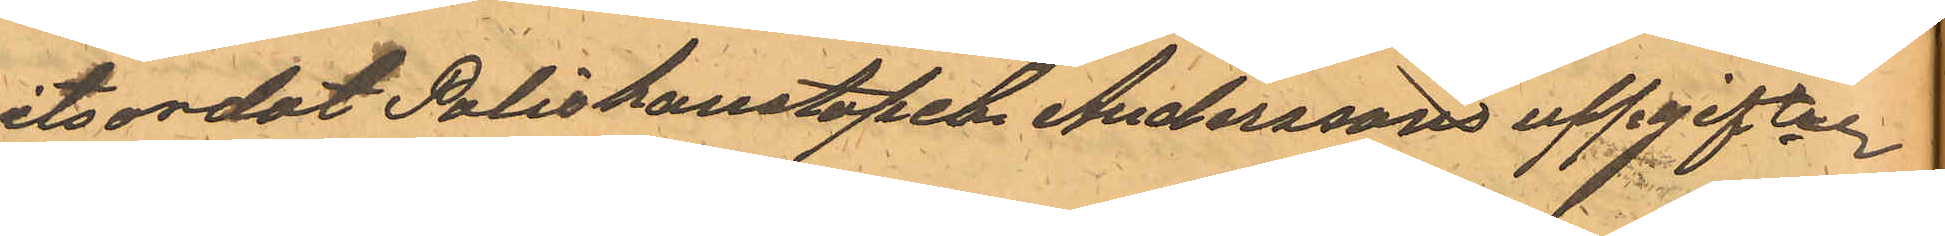vitsordat Poliskonstapeln Anderssons uppgifter.
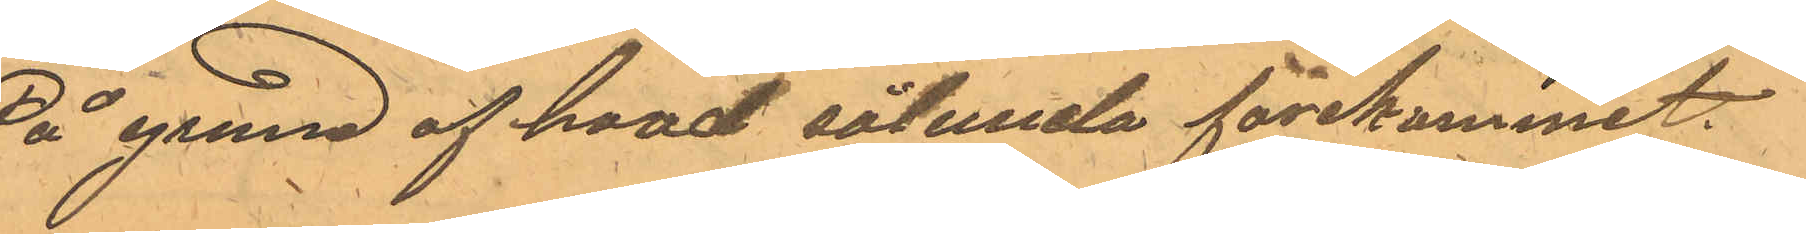På grund af hvad sålunda förekommit,
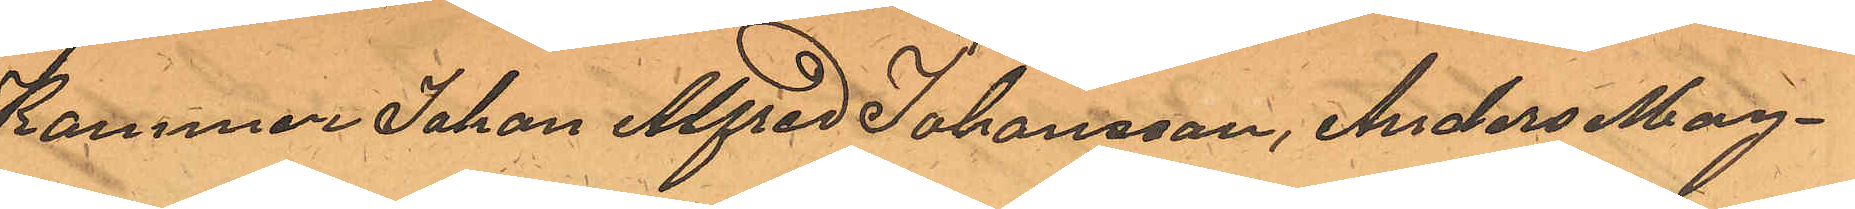Kommer Johan Alfred Johansson, Anders Mag¬
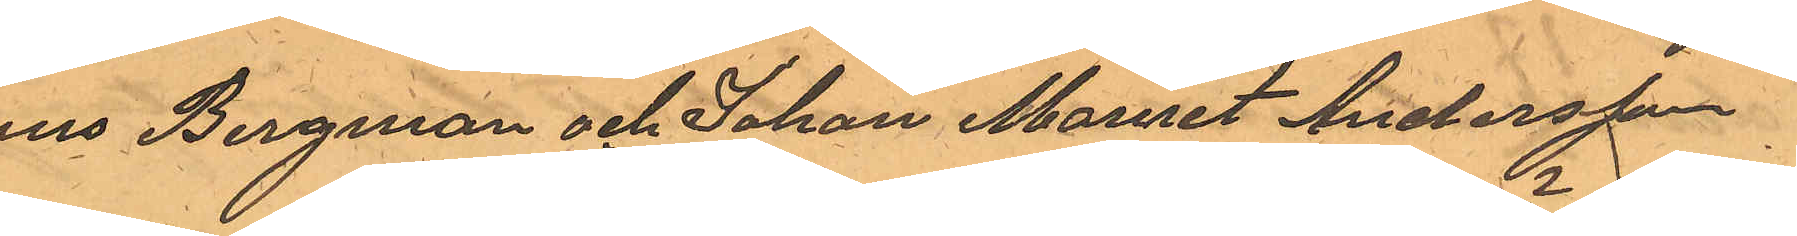nus Bergman och Johan Mauret Andersson
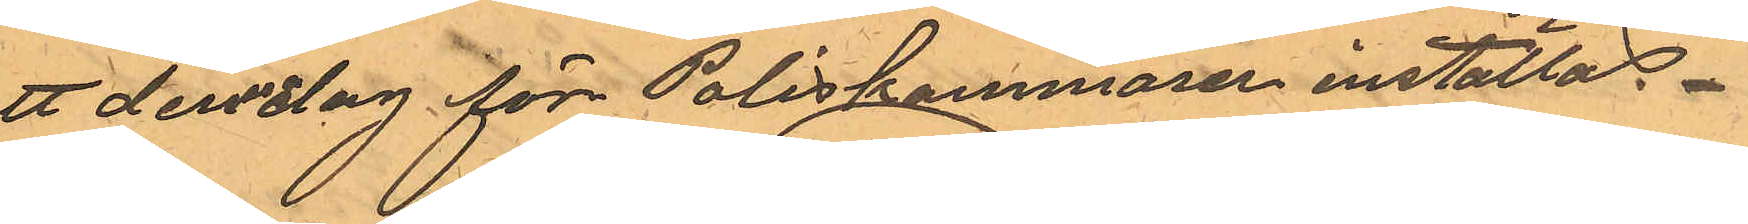att denna dag för Poliskammaren inställas.
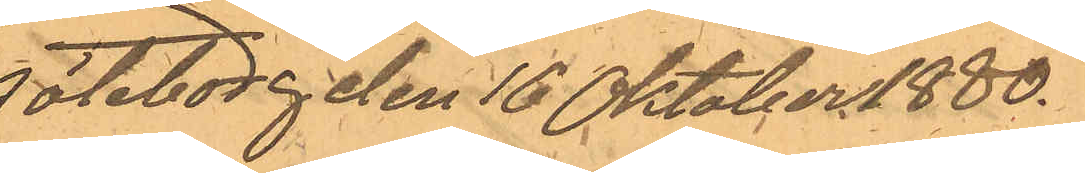Göteborg den 16 Oktober 1880.
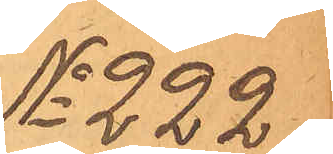No 222
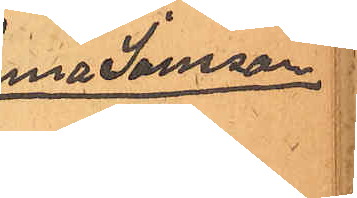Anna Jansson
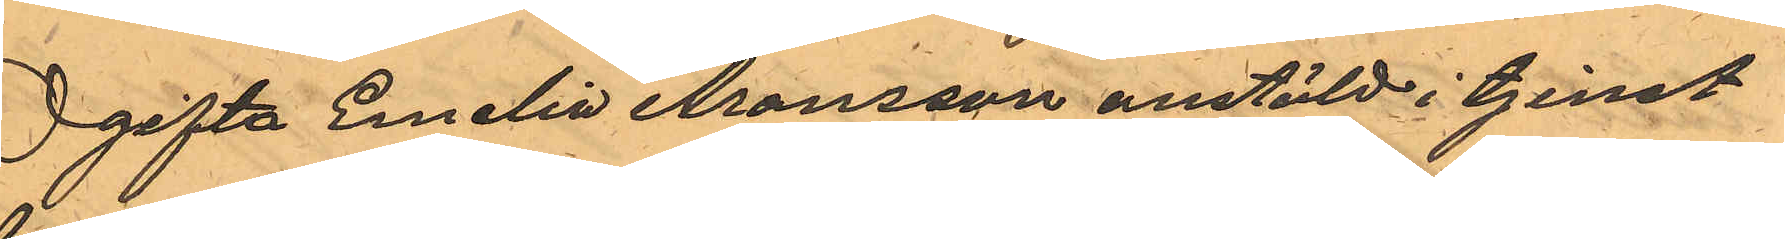Ogifta Emelia Aronsson anstäld i tjenst
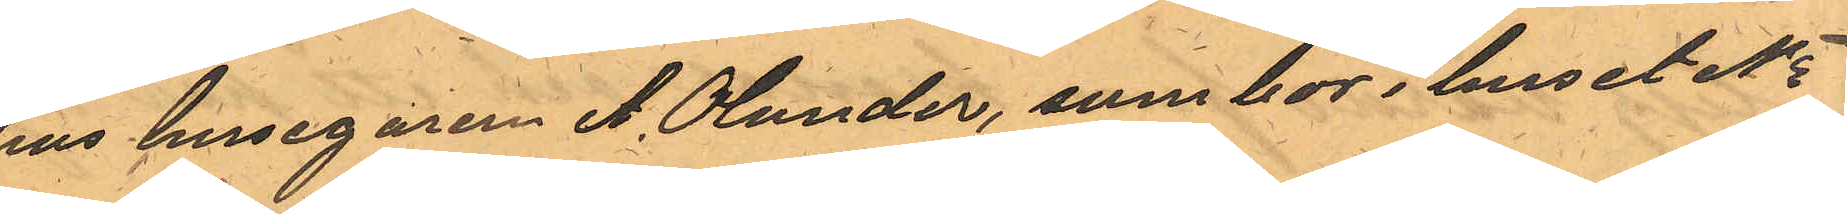hos husegaren A. Olander, som bor i huset No
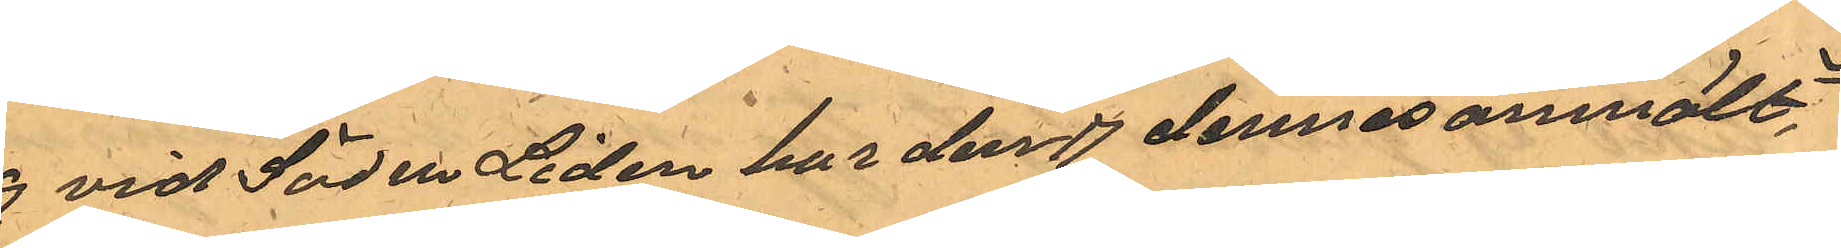19 vid Södra Liden har den 17 dennes anmält,
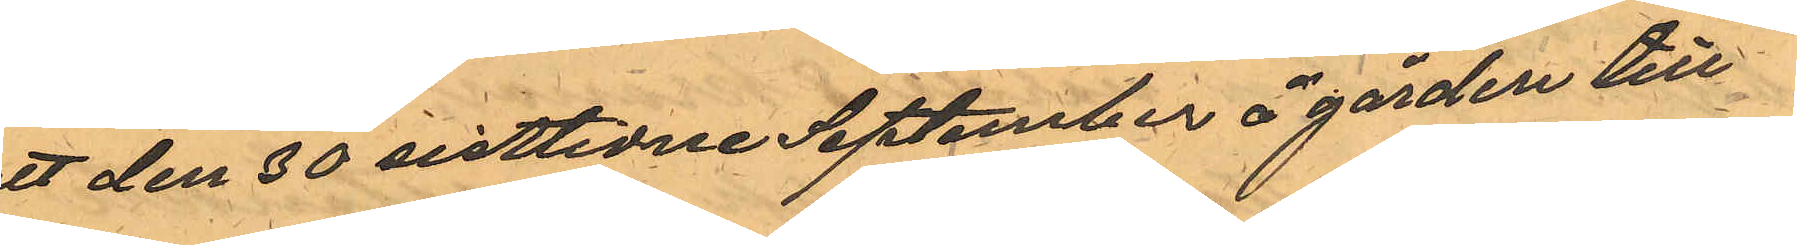att den 30 sistlidne September å gården till
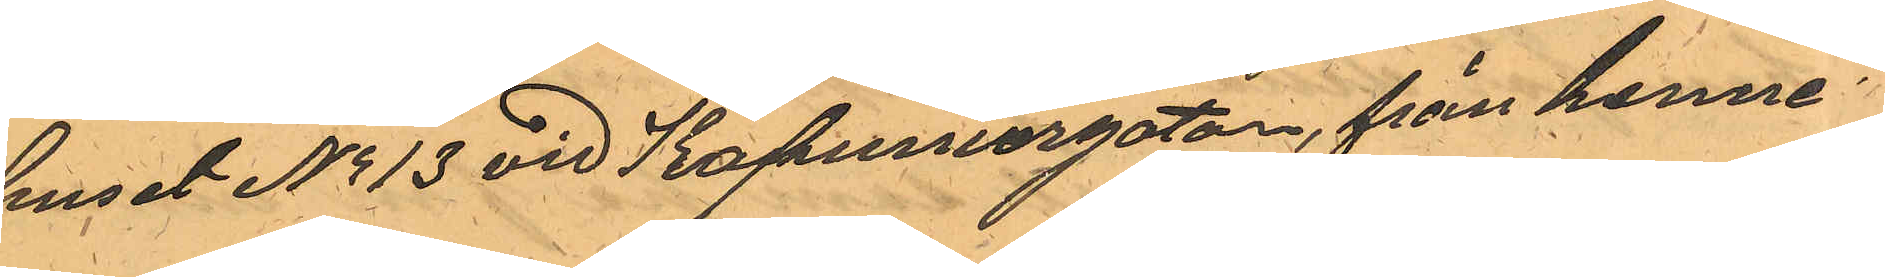huset No 13 vid Kapuniergatan, från henne
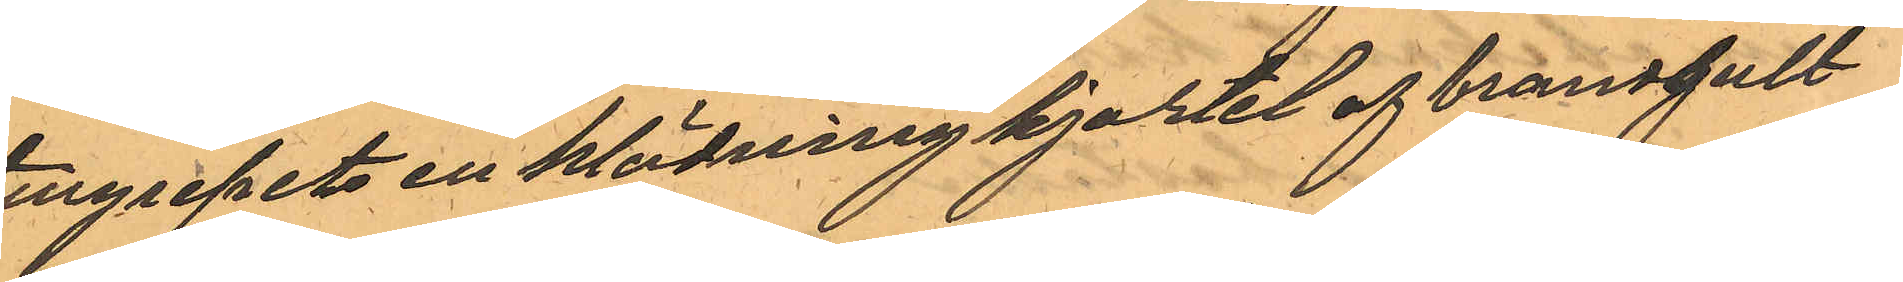tillgripits en klädning kjortel af brandgult
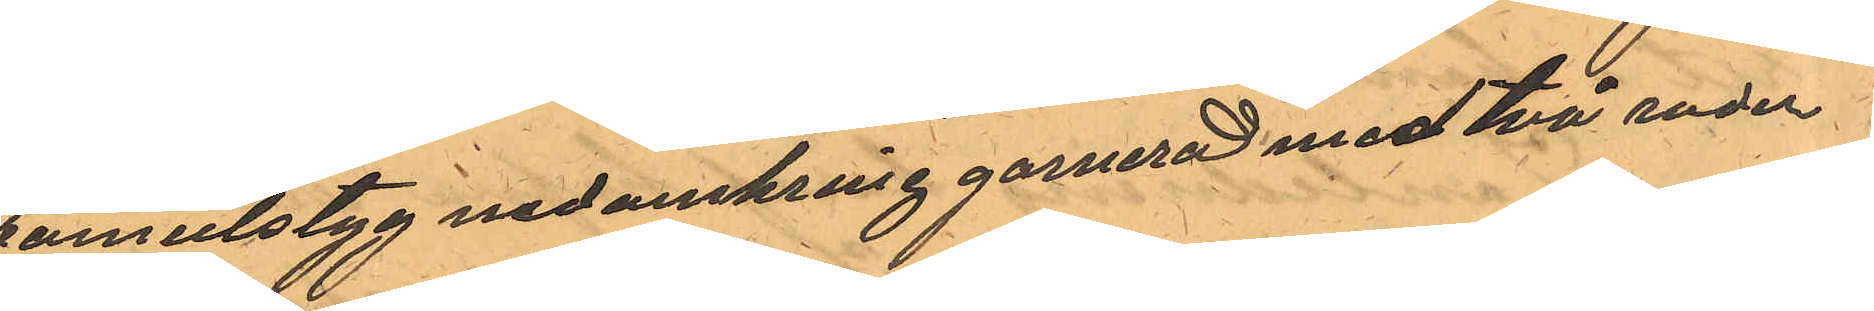bomulstyg nedomkring garnerad med två rader
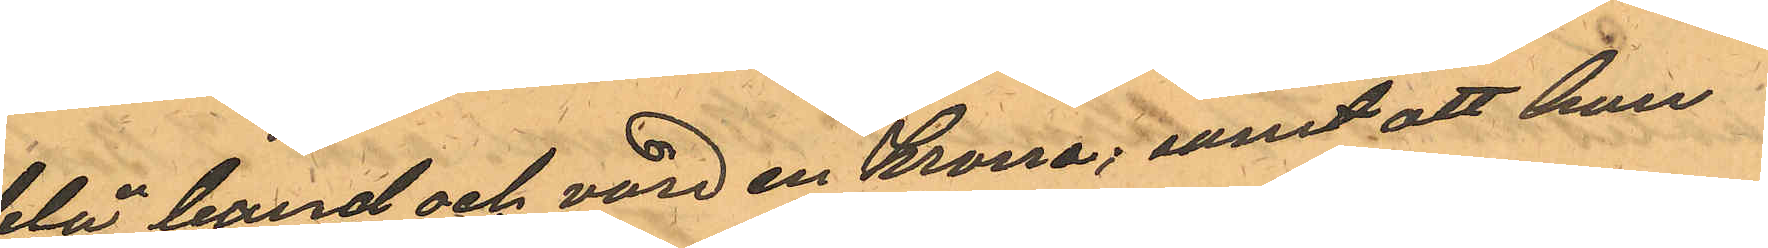blå band och värd en Krona; samt att hon
